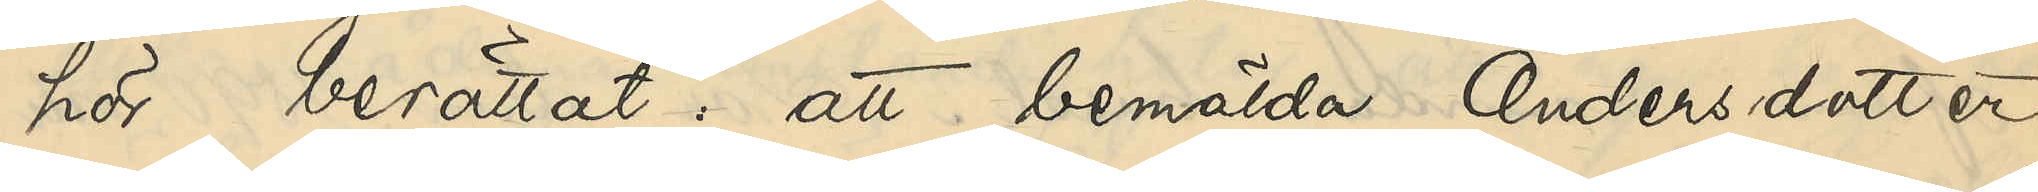hör berättat, att bemälda Andersdotter,
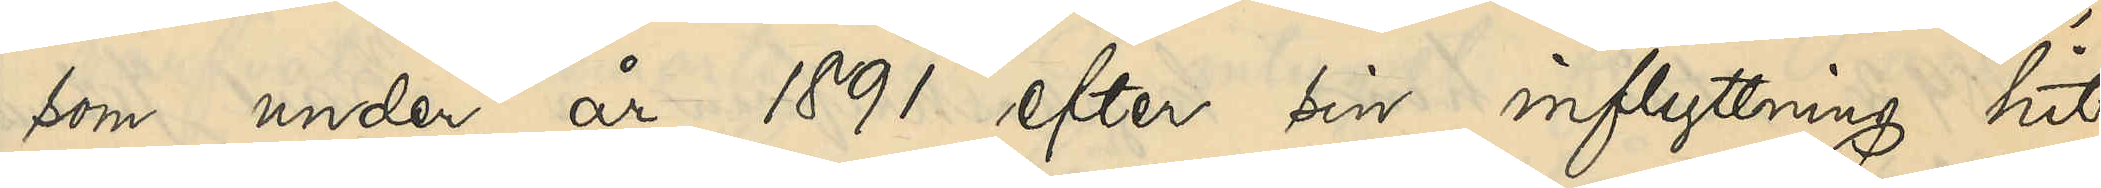som under år 1891 efter sin inflyttning hit
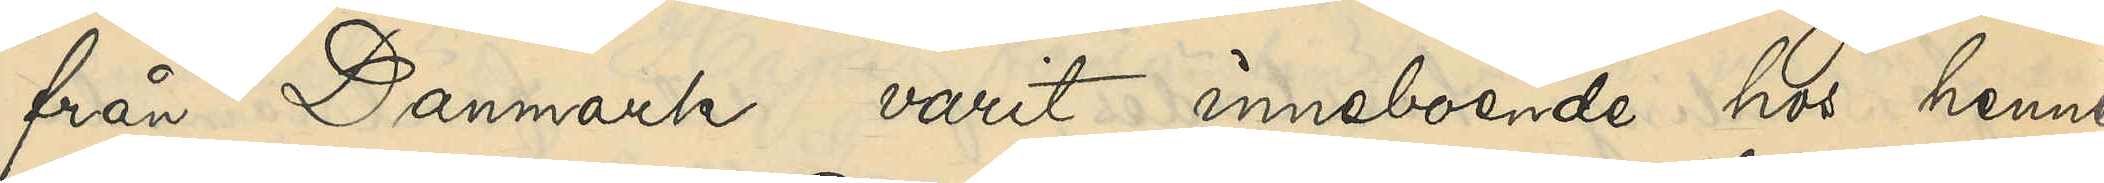från Danmark varit inneboende hos henne
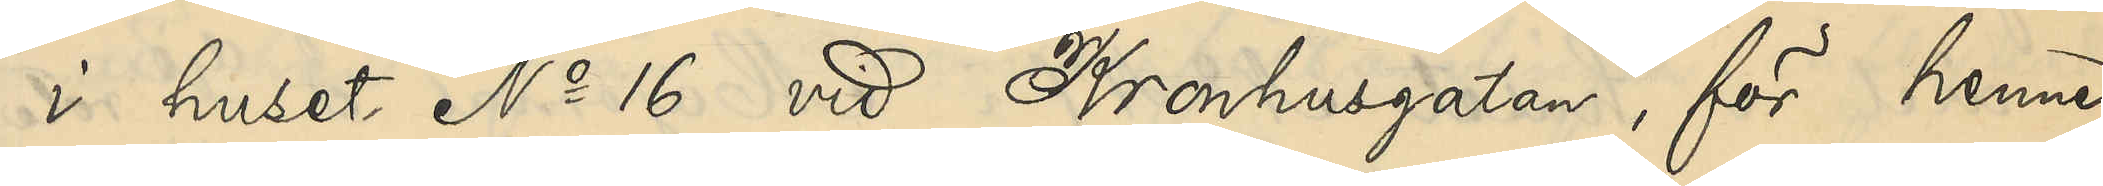i huset No 16 vid Kronhusgatan, för henne
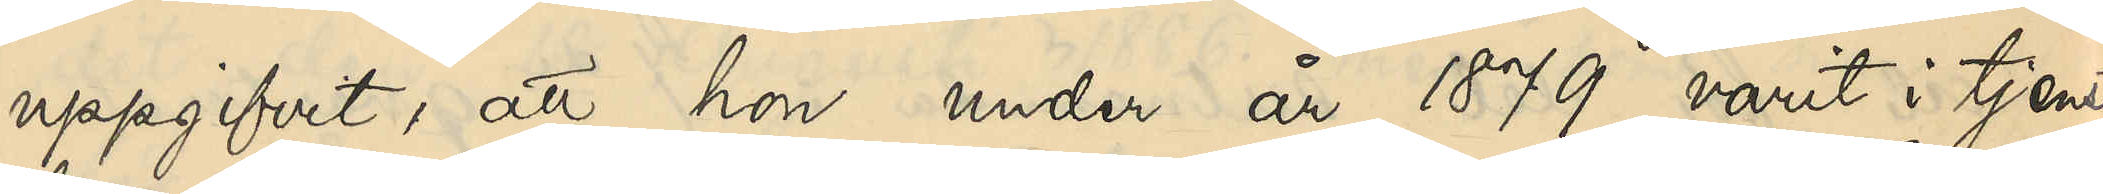uppgifvit, att hon under år 1879 varit i tjenst
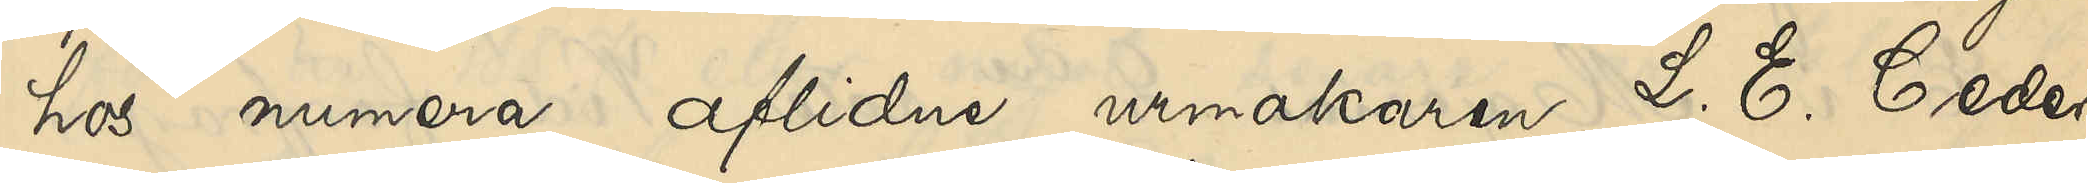hos numera aflidne urmakaren L. E. Ceder¬
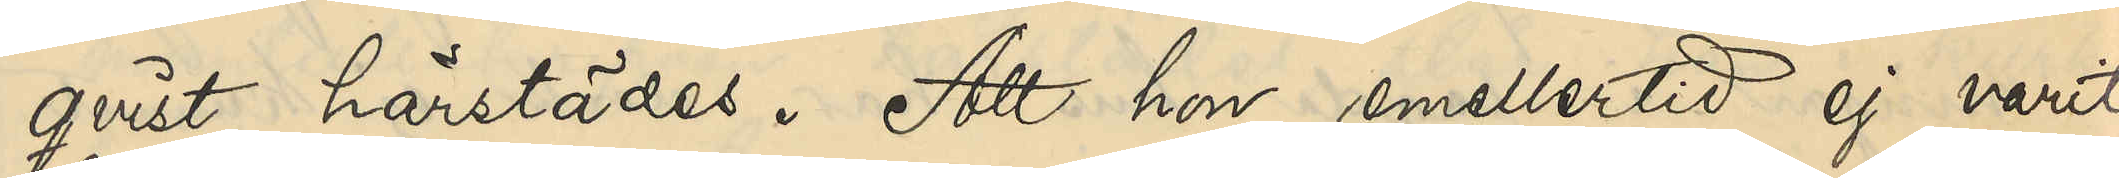qvist härstädes. Att hon emellertid ej varit
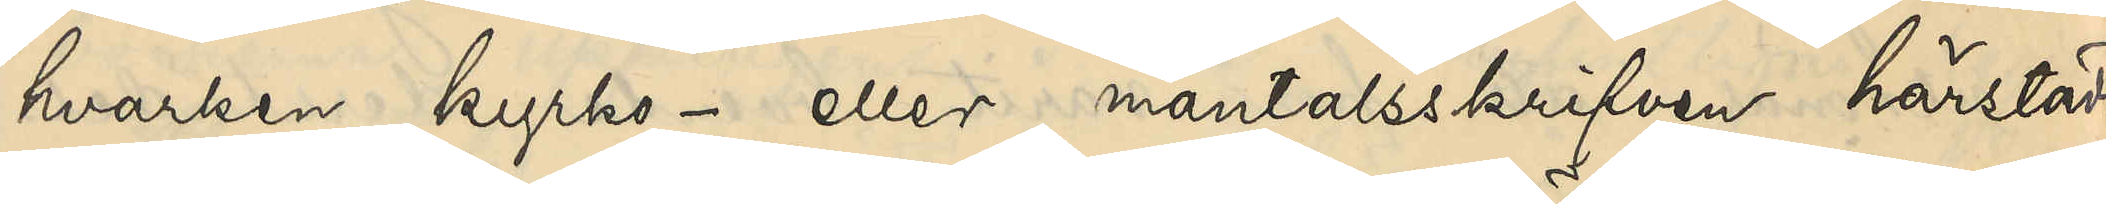hvarken kyrko- eller mantalsskrifven härstädes.
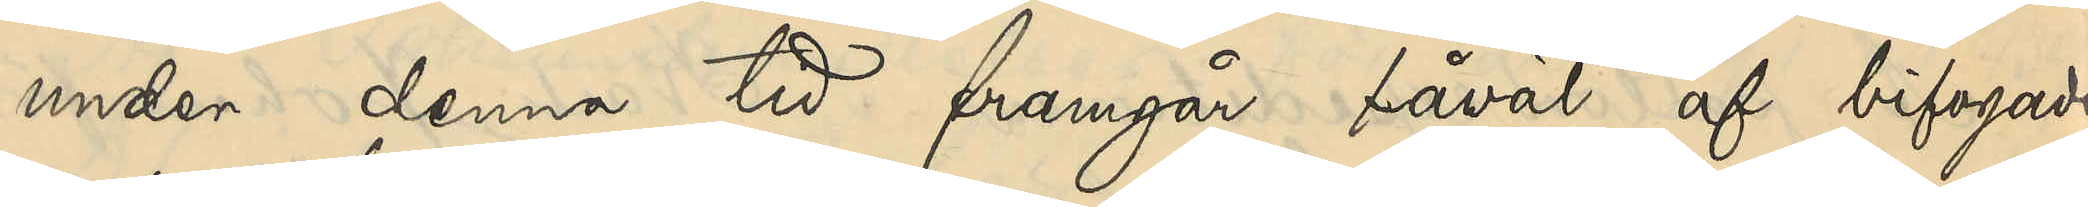Under denna tid framgår såväl af bifogade
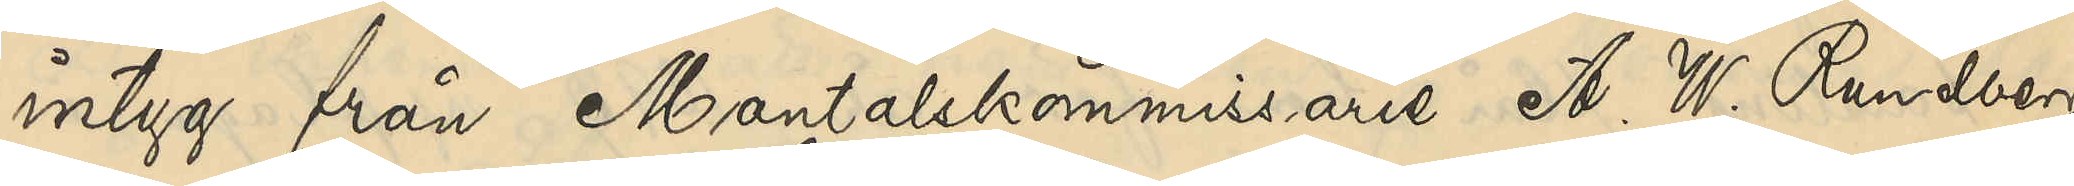intyg från Mantalskommissarie A. W. Rundberg
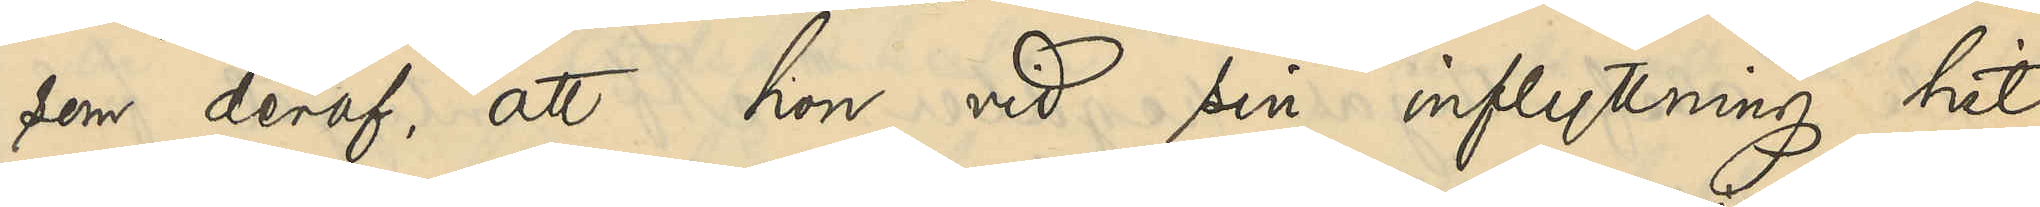som deraf, att hon vid sin inflyttning hit
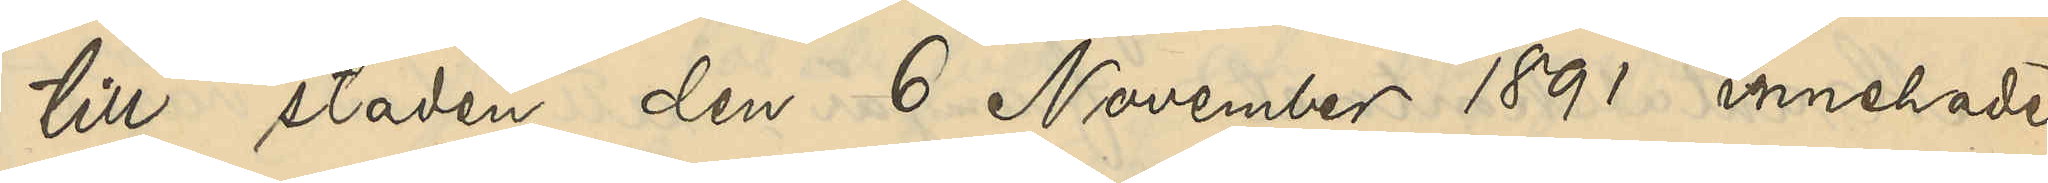till staden den 6 November 1891 innehade
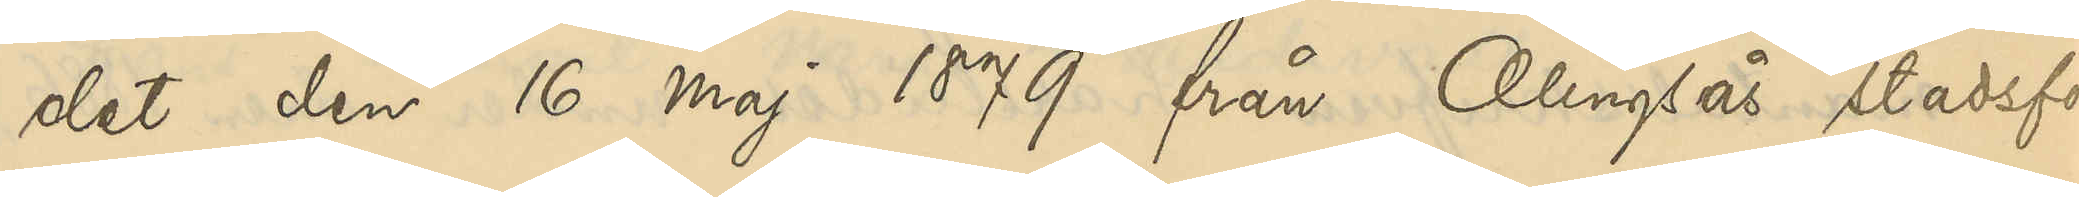det den 16 Maj 1879 från Alingsås stadsför¬
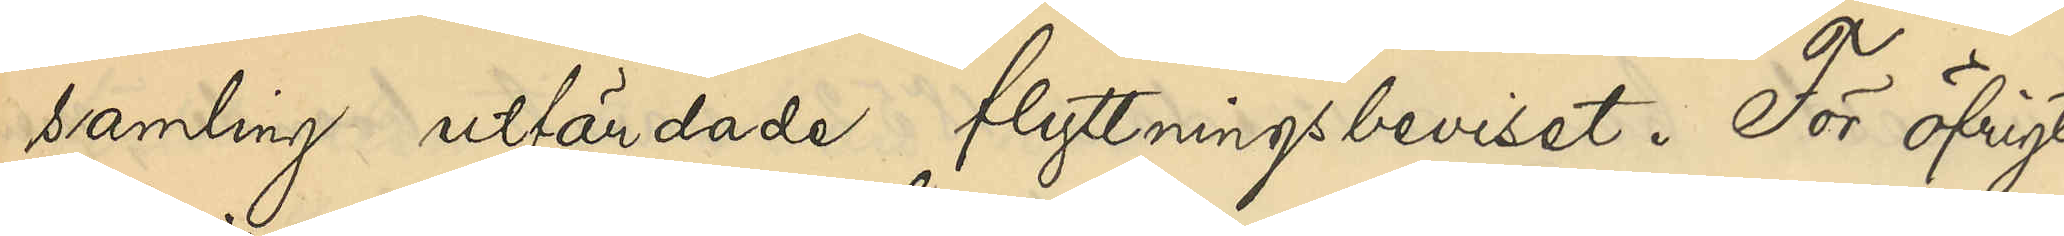samling utfärdade flyttningsbeviset. För öfrigt
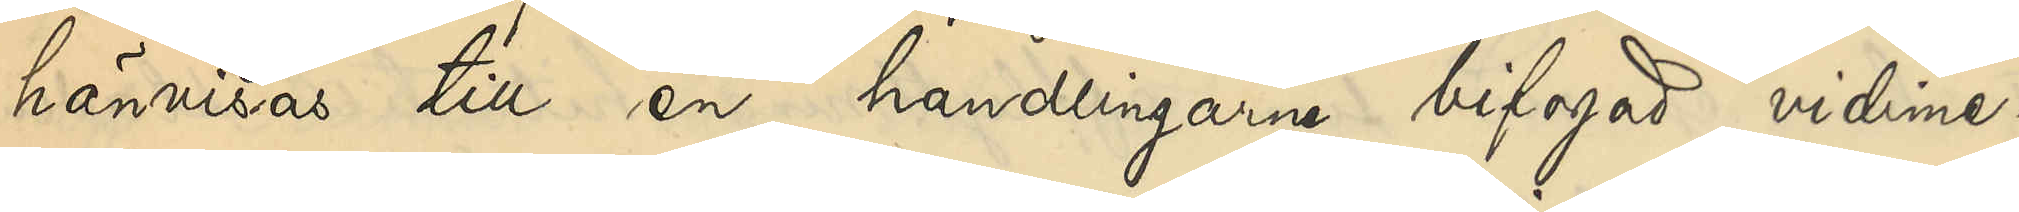hänvisas till en handlingarne bifogad vidime¬
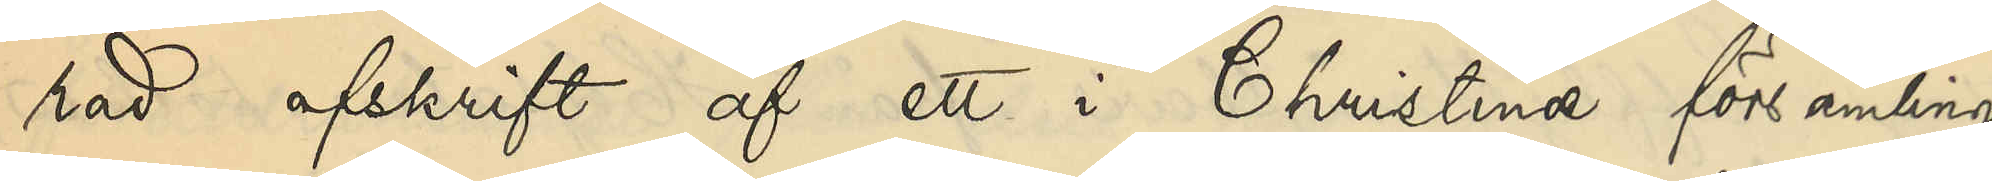rad afskrift af ett i Christine församling
